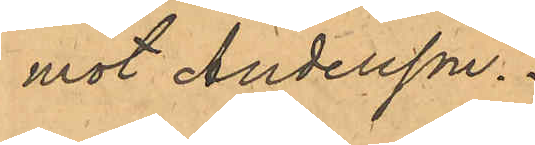mot Andersson.
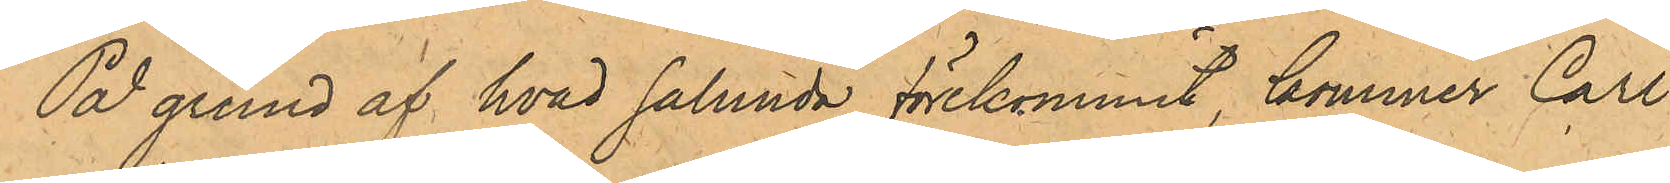På grund af hvad sålunda förekommit, kommer Carl
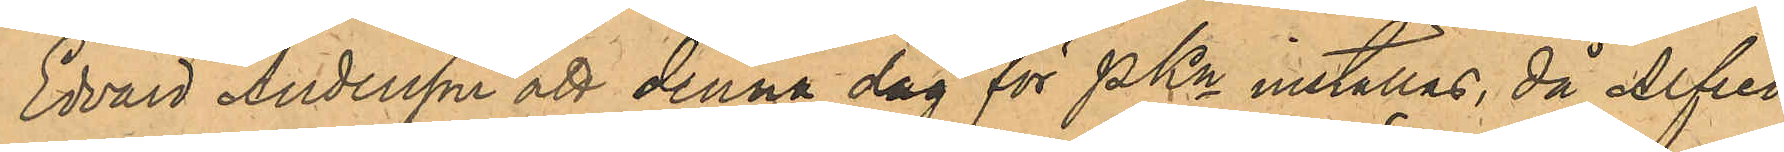Edvard Andersson att denna dag för PKn inställas, då Alfred
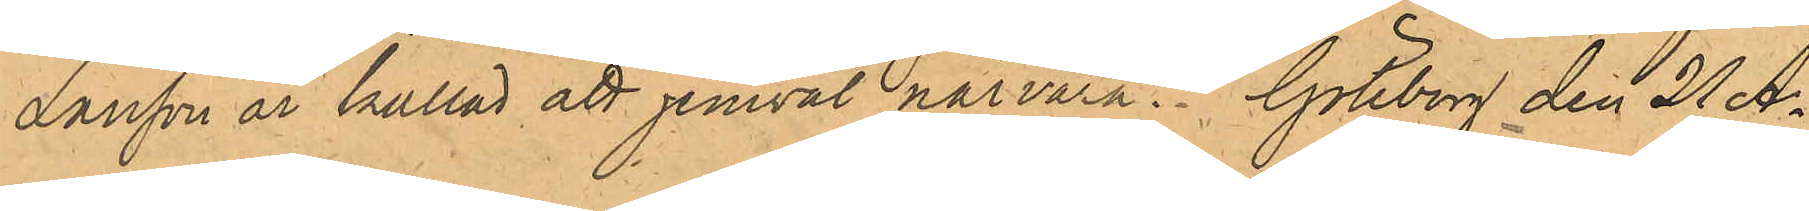Larsson är kallad att jemväl närvara. Göteborg den 21 A¬
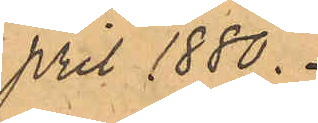pril 1880.
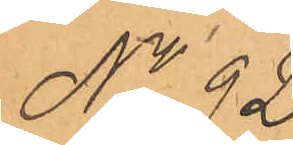No 92.
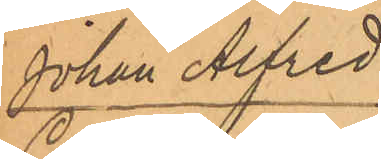Johan Alfred
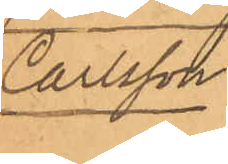Carlsson.
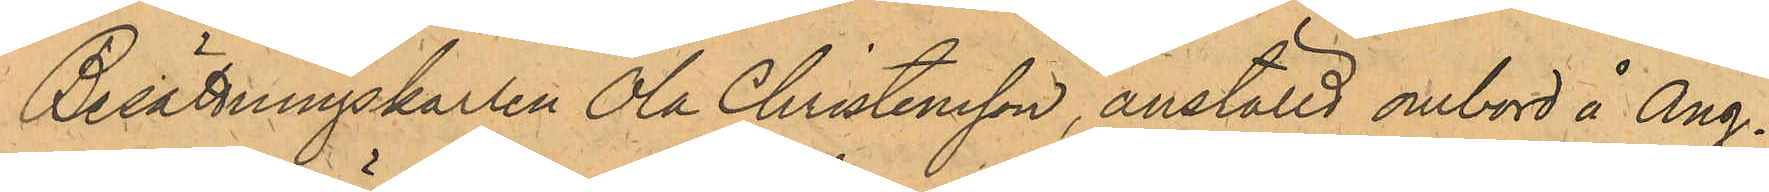Besättningskarlen Ola Christensson, anställd ombord å Ång¬
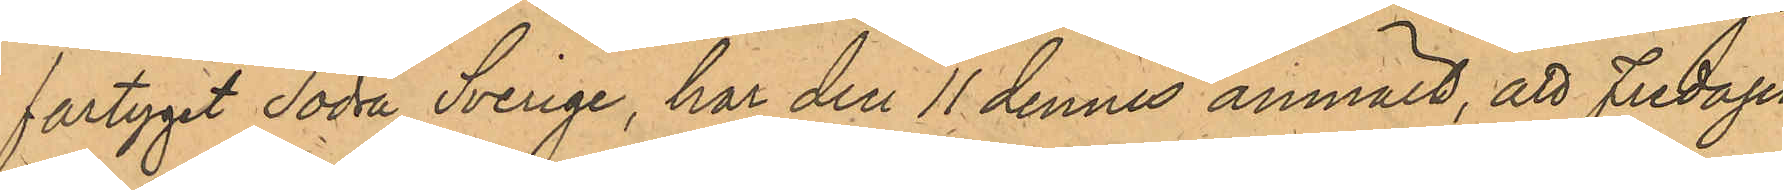fartyget Södra Sverige, har den 11 dennes anmält, att Fredagen
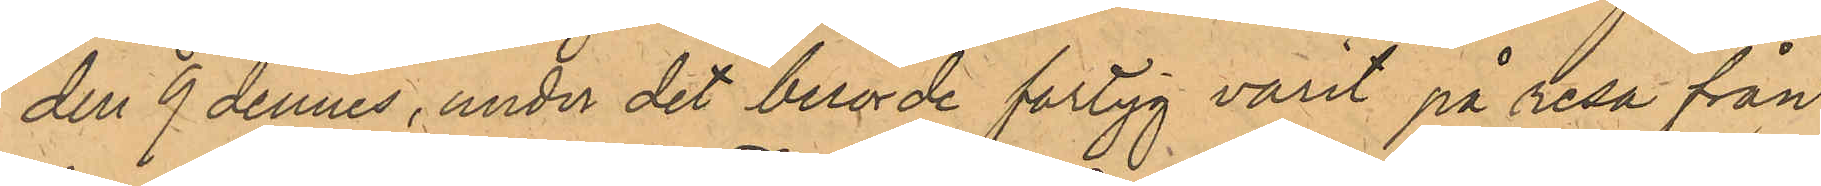den 9 dennes, under det berörde fartyg varit på resa från
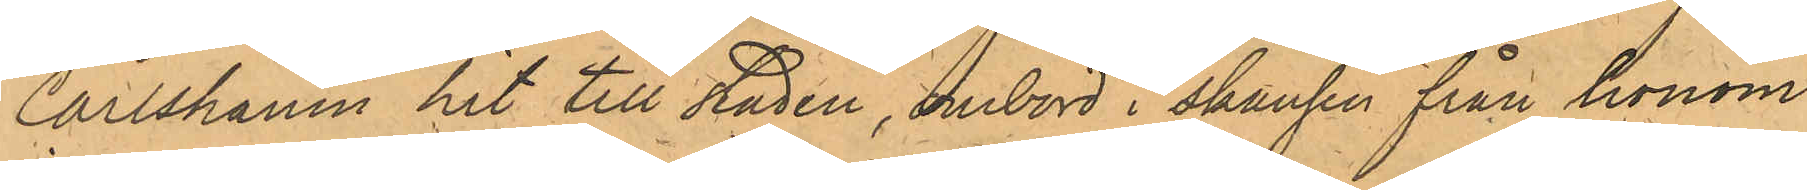Carlshamn hit till staden, ombord i skansen från honom
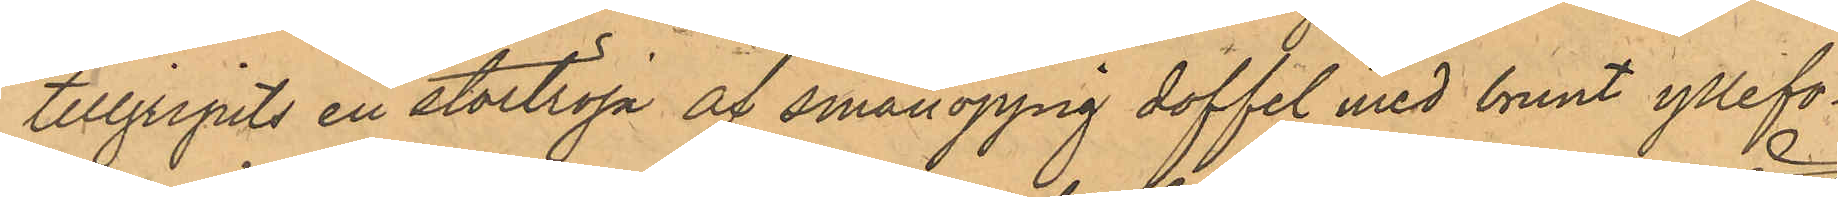tillgripits en stortröja af smånoppig doffel med brunt yllefo¬
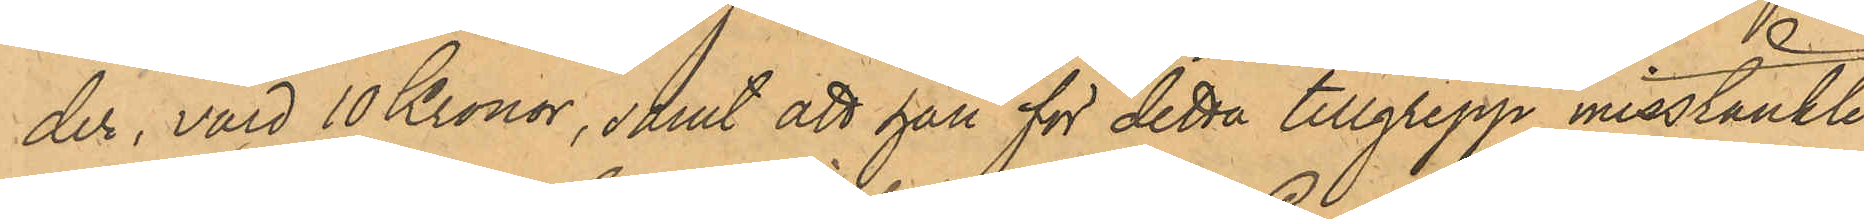der, värd 10 Kronor, samt att han för detta tillgrepp misstänkte
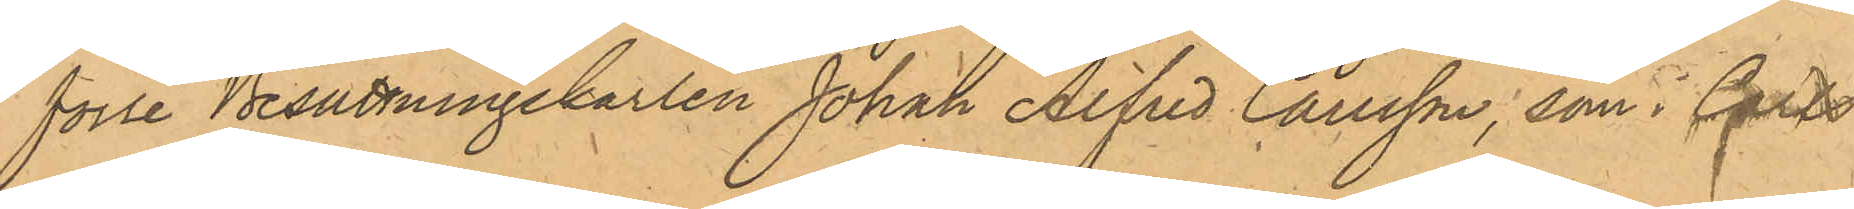förre Besättningskarlen Johan Alfred Carlsson, som i Carls¬
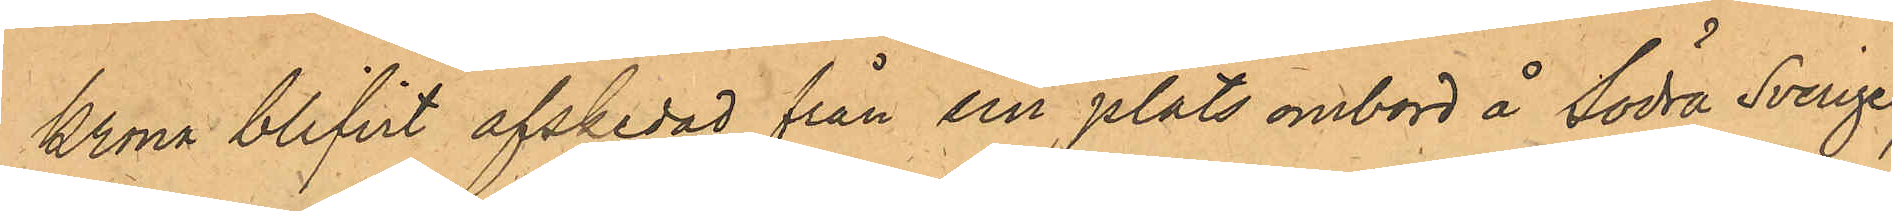krona blifvit afskedad från sin plats ombord å Södra Svenge,
